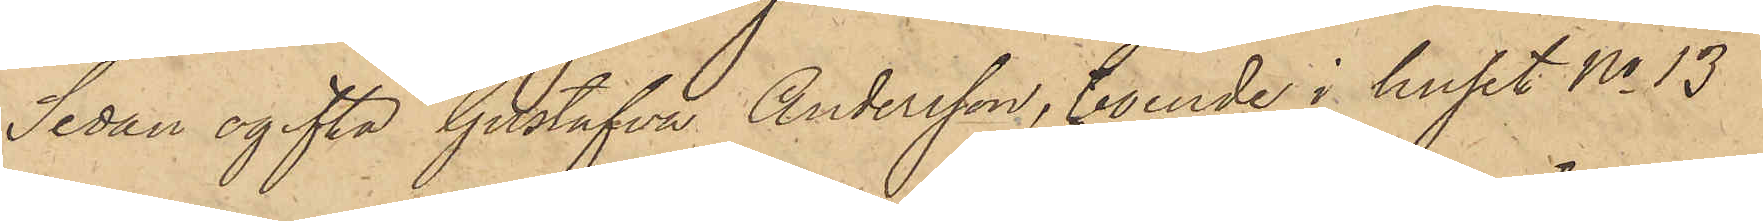Sedan ogifta Gustafva Andersson, boende i huset No 13
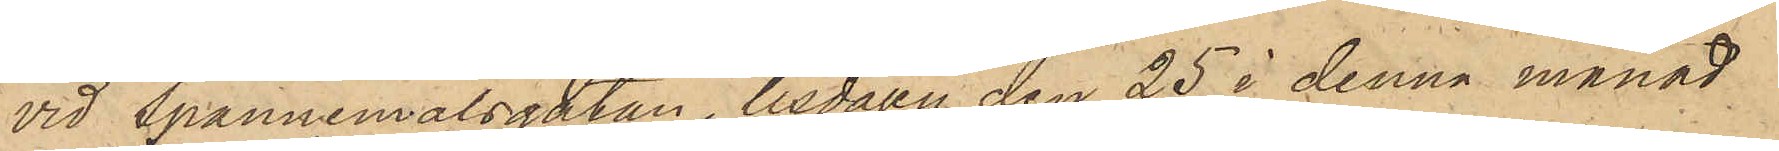vid Spannmålsgatan, tisdagen den 25 i denna månad
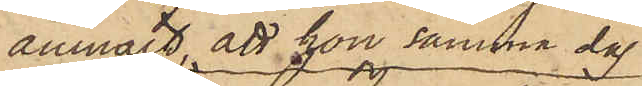anmält, att hon samma dag
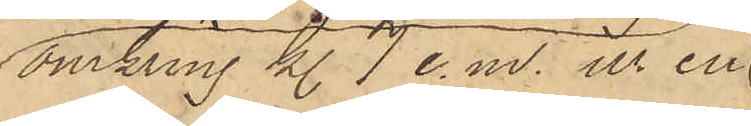omkring Kl 7 e. m. ur en
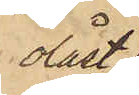olåst
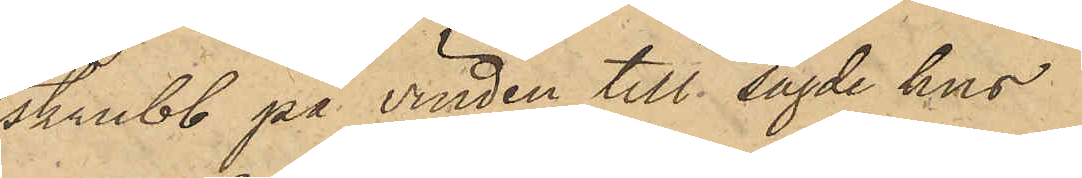skrubb på vinden till sagde hus
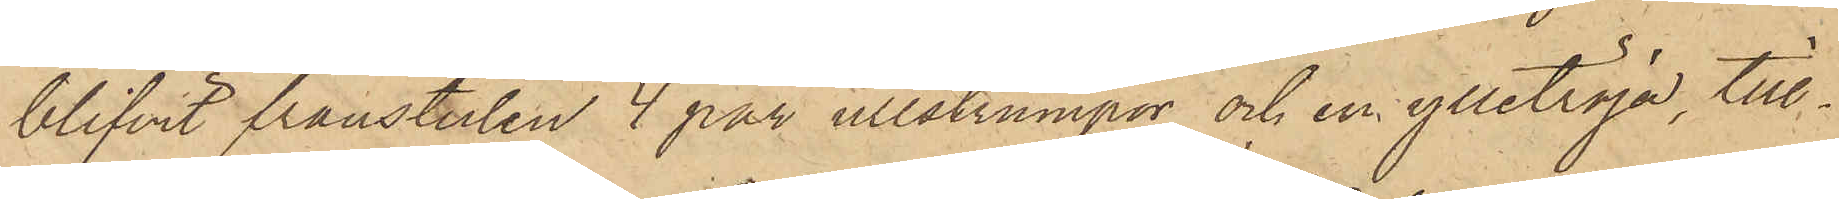blifvit frånstulen 4 par ullstrumpor och en ylletröja, till¬
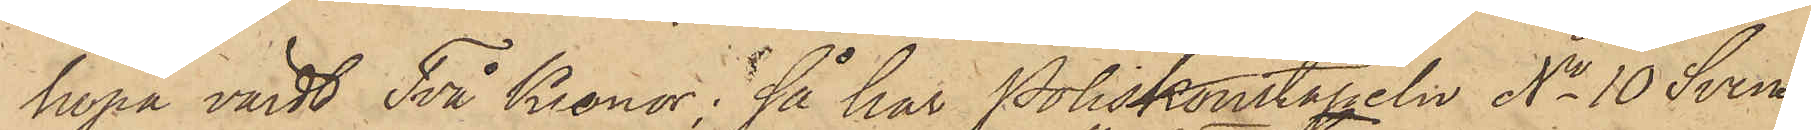hopa värdt Två Kronor; så har Poliskonstapeln No 10 Sven¬
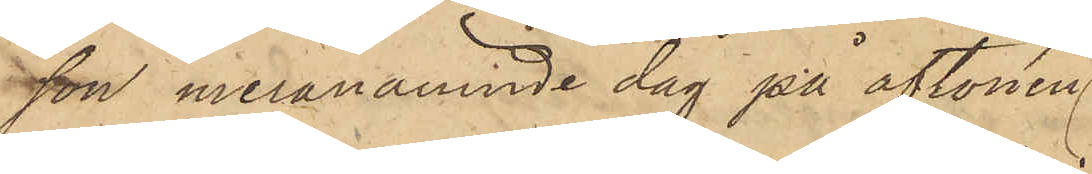sson meranämnde dag på aftonen
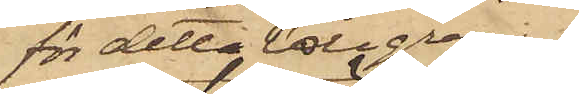för detta tillgrepp
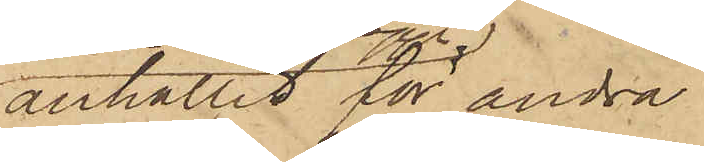anhållit för andra
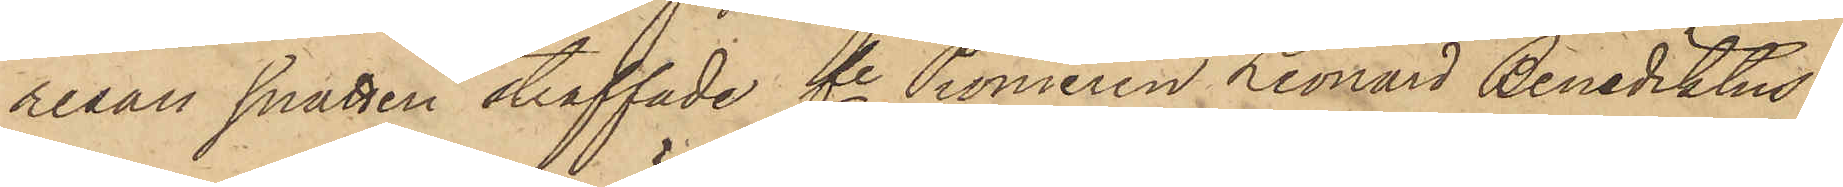resan snatteri straffade fe Pionieren Leonard Benediktus
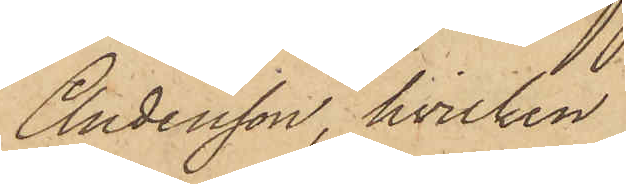Andersson, hvilken
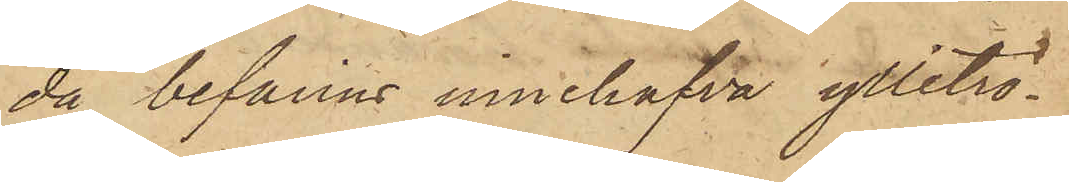då befanns innehafva ylletrö¬
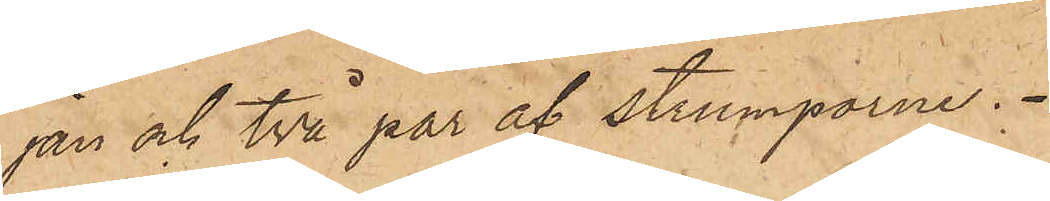jan och två par af strumporna.
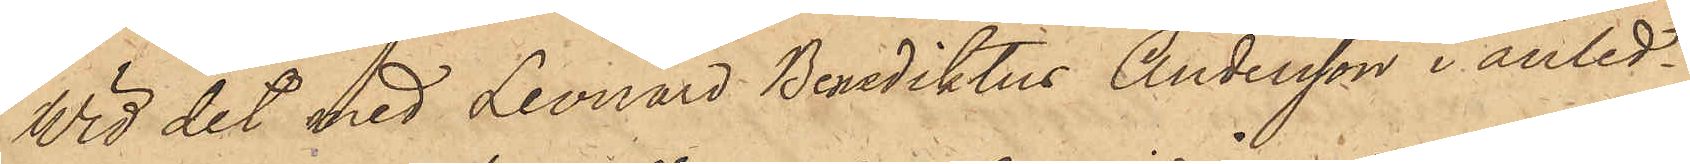Wid det med Leonard Benediktus Andersson i anled¬
